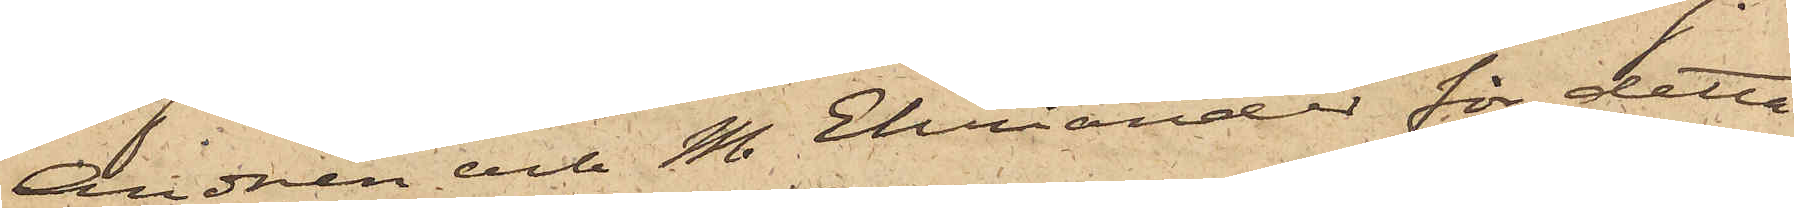Andrén och M. Ehviander för detta
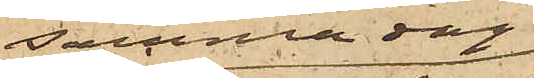tillgrepp samma dag
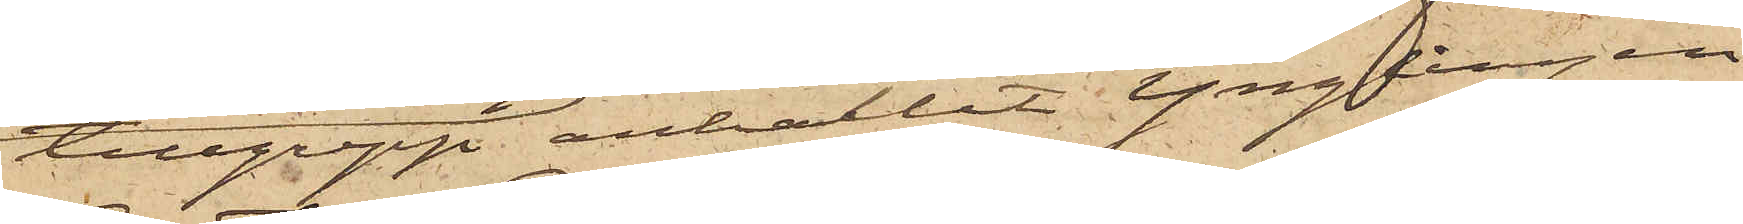 anhållit ynglingen
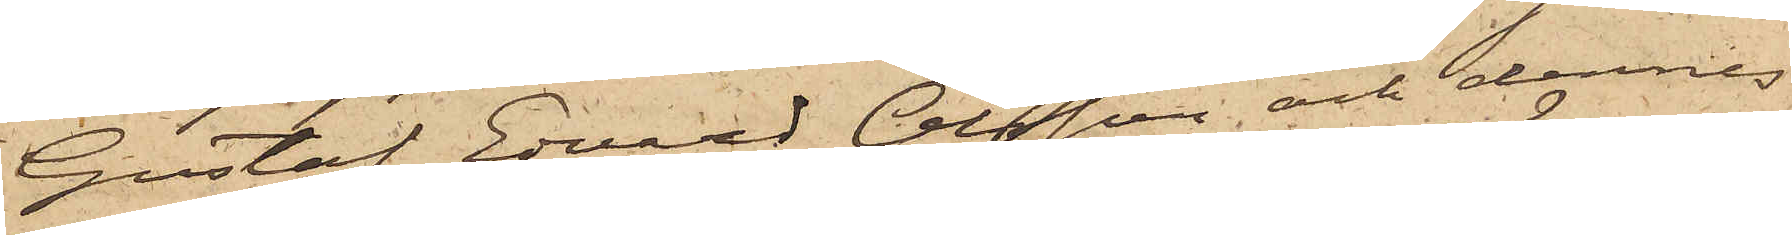Gustaf Edvard Olsson och dennes
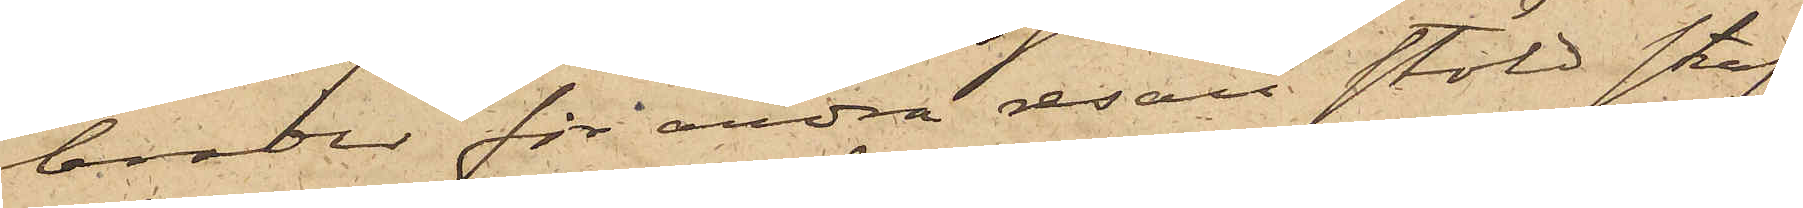broder för andra resan stöld straf¬
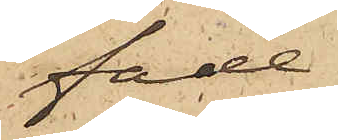fade
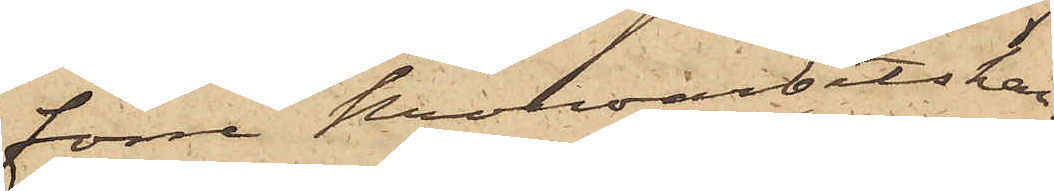förre Kronoarbetskar¬
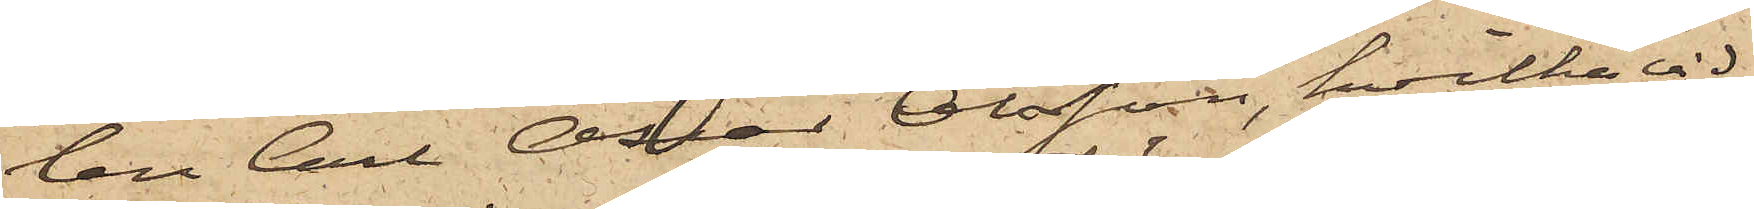len Carl Oscar Olsson, hvilka vid
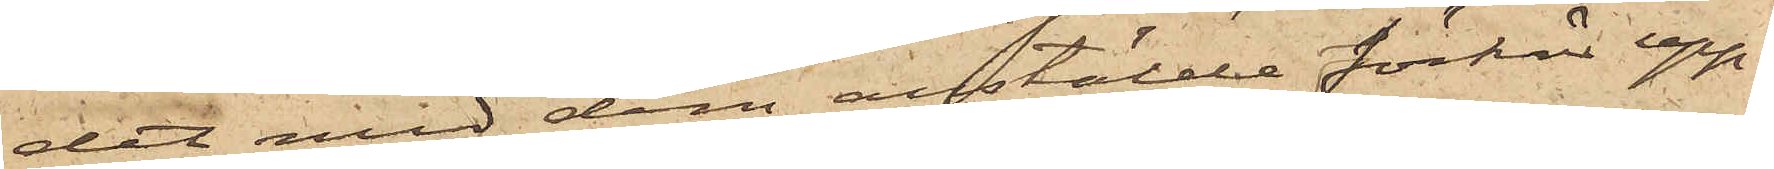det med dem anstälde förhör upp¬
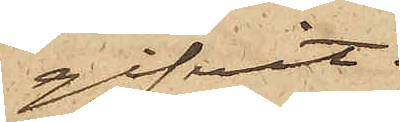gifvit:
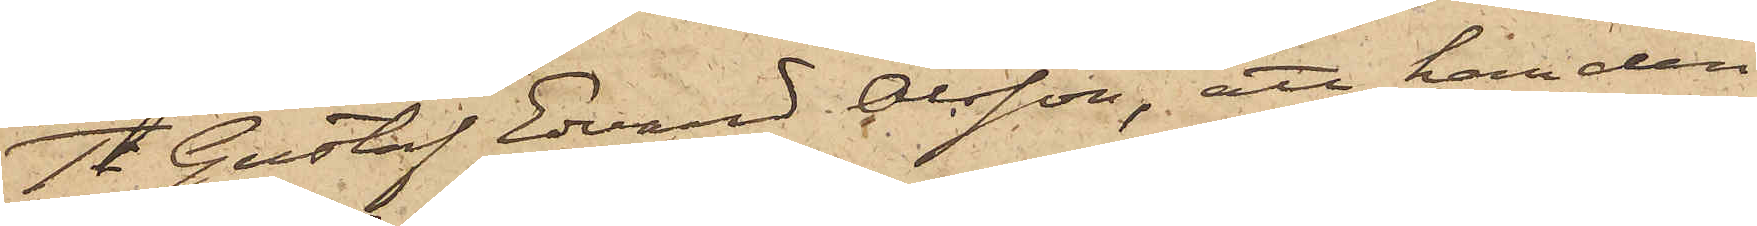1o Gustaf Edvard Olsson, att han den
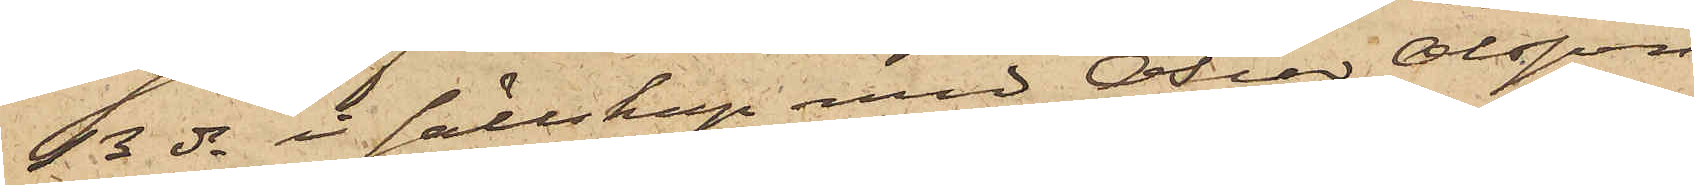13 ds i sällskap med Oscar Olsson
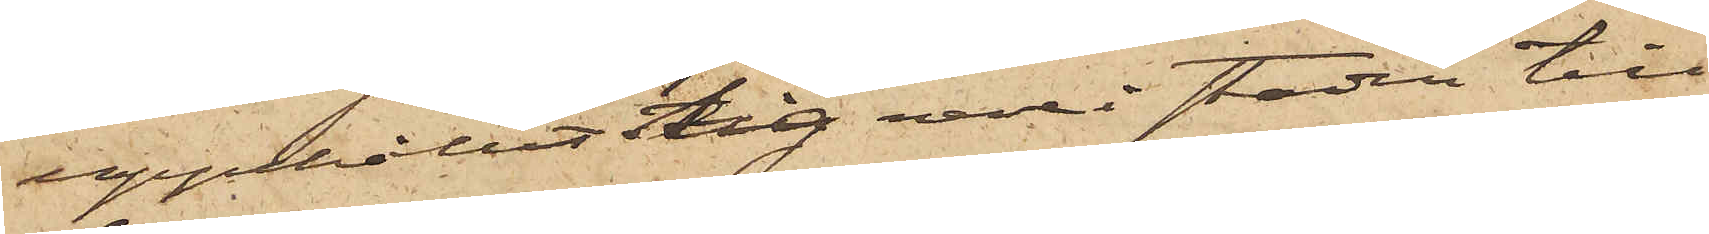uppehållit sig här i staden till
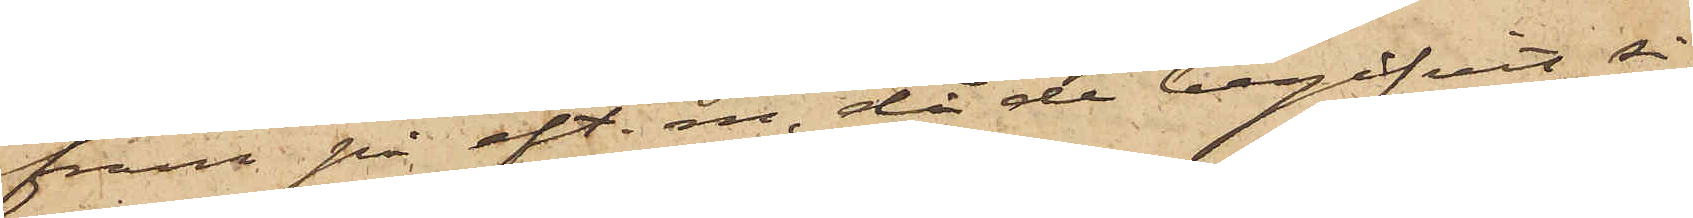fram på eft. m. då de begifvit sig
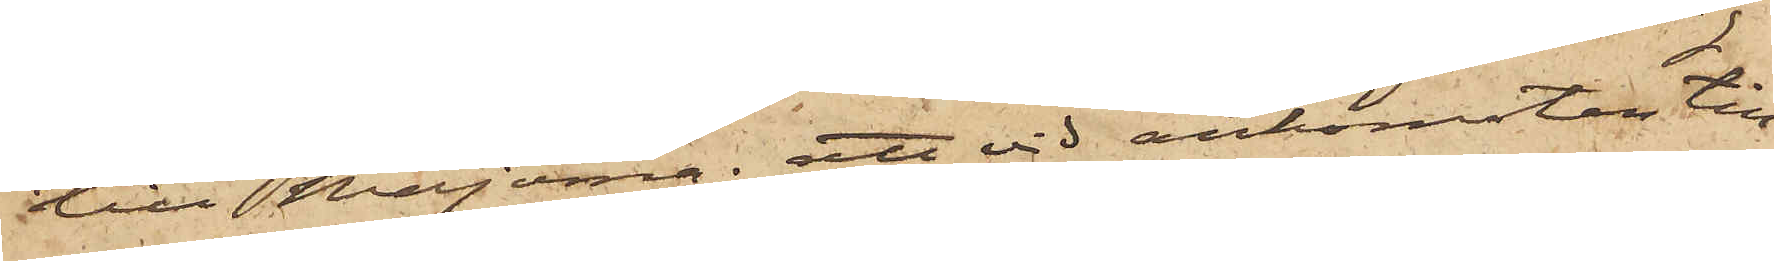till Majorna; att vid ankomsten till
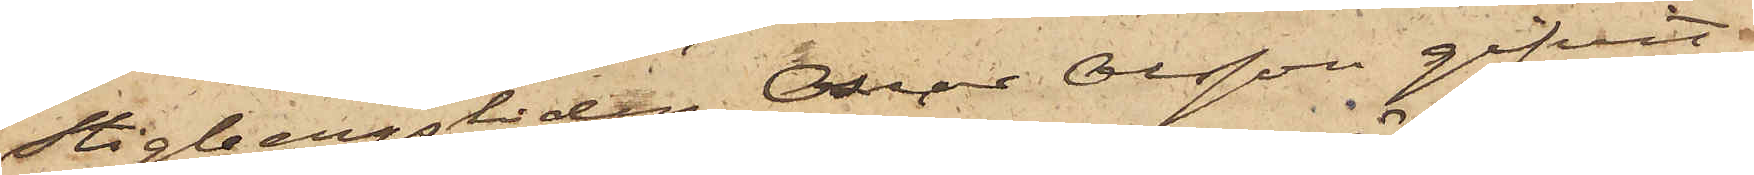Stigbergsliden Oscar Olsson gifvit
